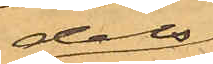dels
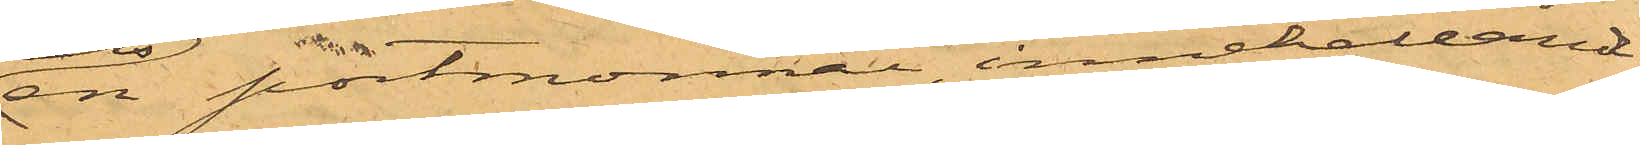en portmonnai innehållande
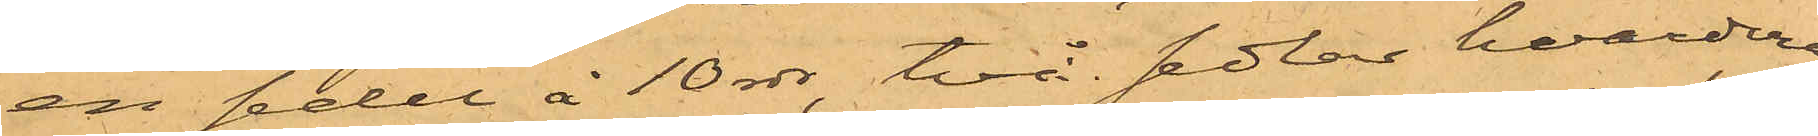en sedel å 10 rdr, två sedlar hvardera
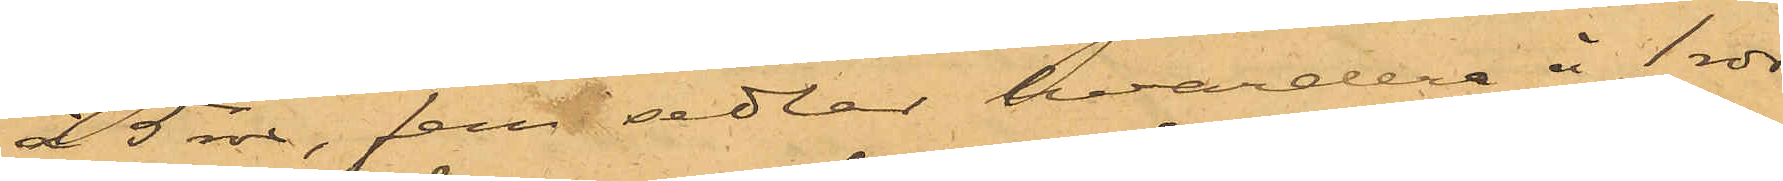à 5 rdr, fem sedlar hvardera à 1 rdr
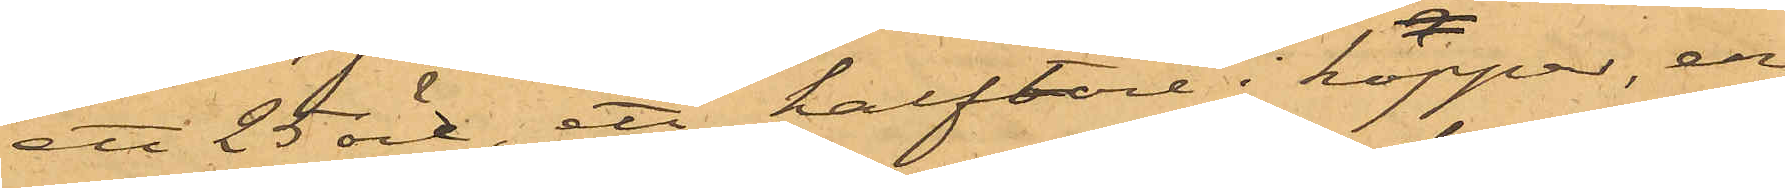ett 25 öre, ett halftöre i koppar, en
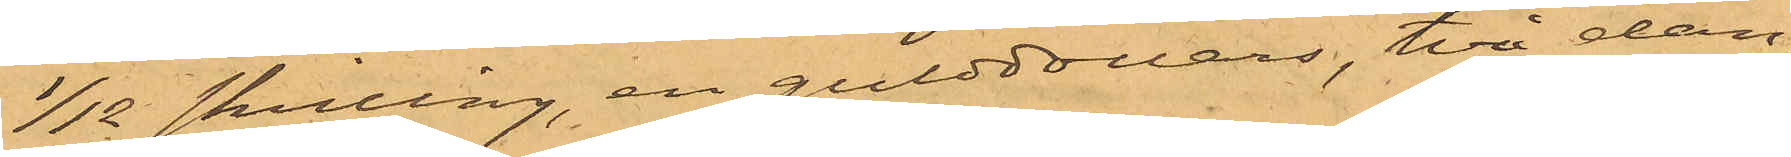1/12 skilling, en gulddollar, två dan¬
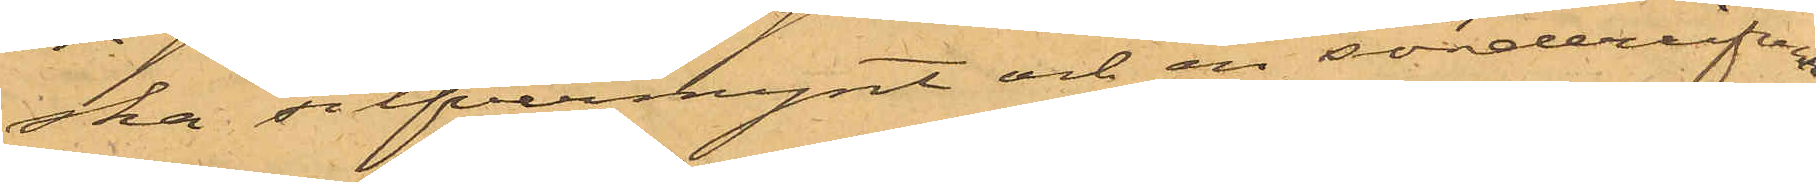ska silfvermynt och en sönderrifven
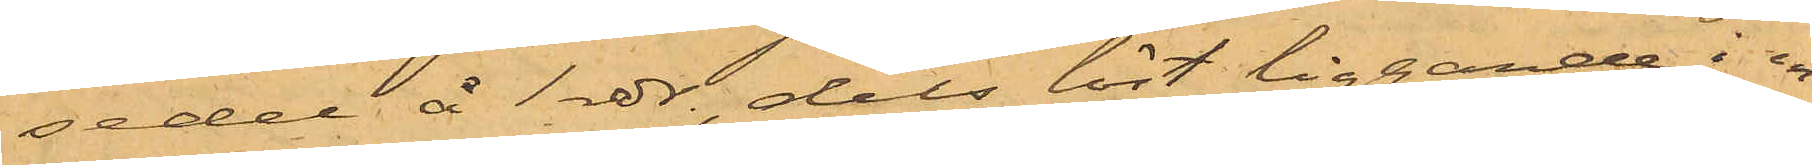sedel å 1 rdr, dels löst liggande i en
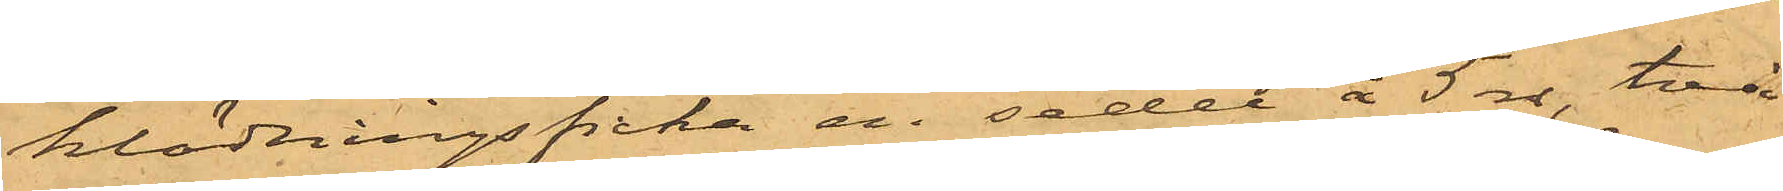klädningsficka en sedel å 5 rdr, två
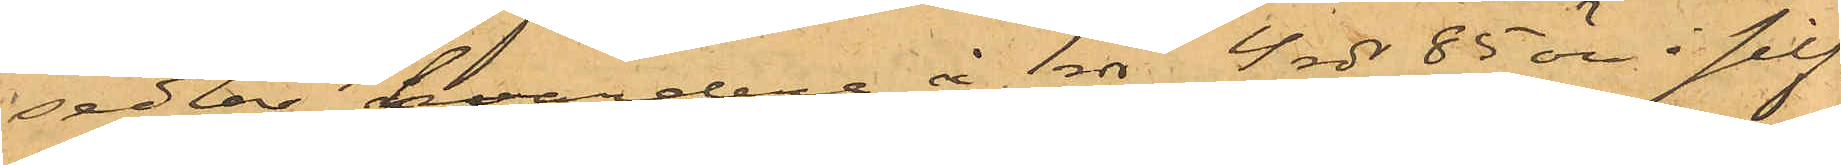sedlar, hvardera à 1 rdr, 4 rdr 85 öre i silf¬
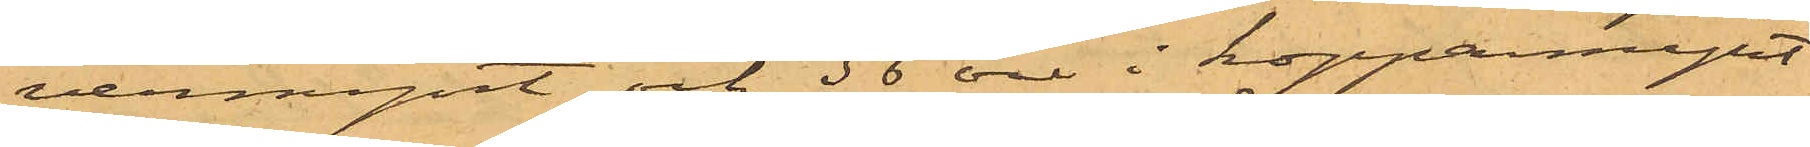vermynt och 36 öre i kopparmynt
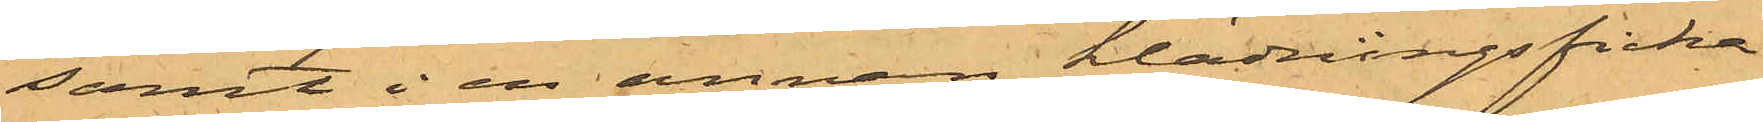samt i en annan klädningsficka
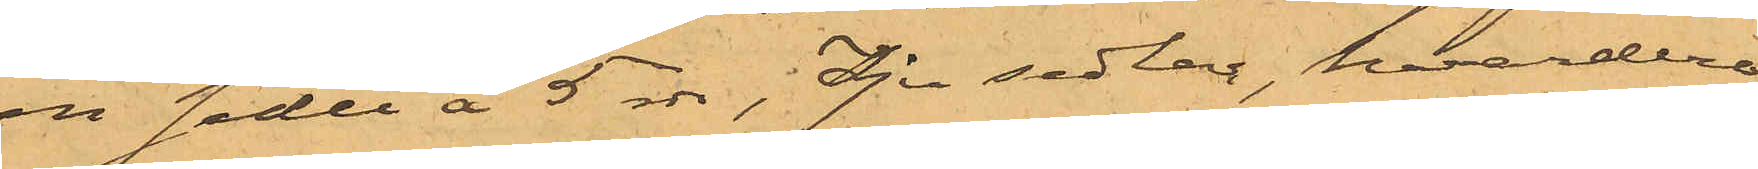en sedel à 5 rdr, Sju sedlar, hvardera
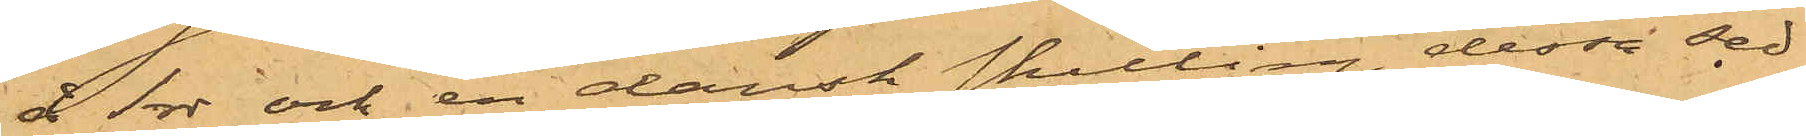å 1rdr och en dansk skilling, dessa sed¬
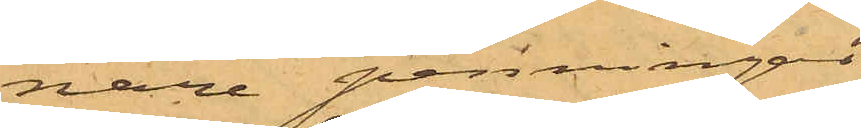nare penningar
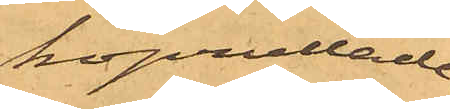hoprullade.
